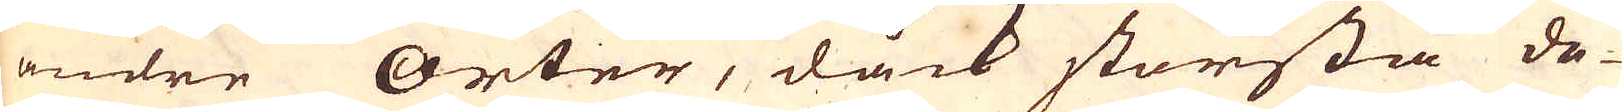andre Orter, dåck största de-
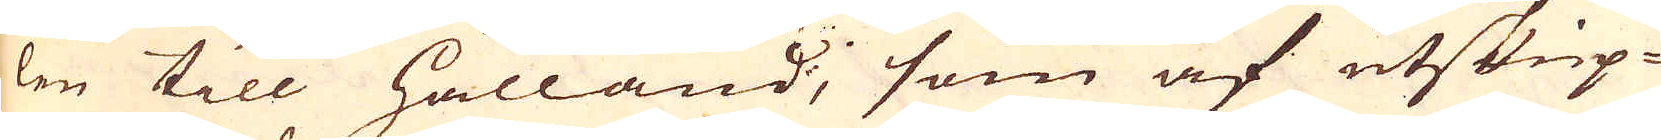len till Hålland, som af utskip-
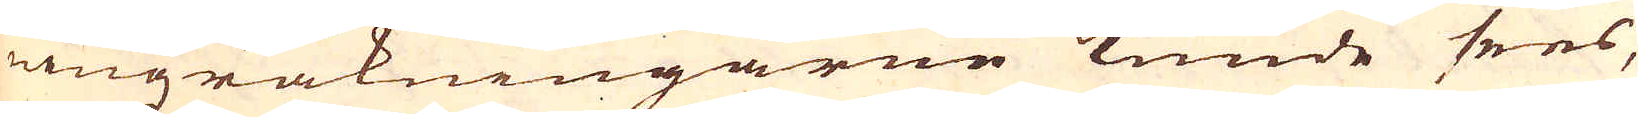ningzräkningarne kunde sees,
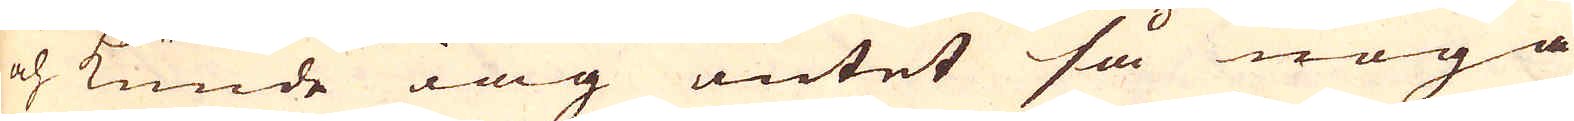och kunde iag intet så noga
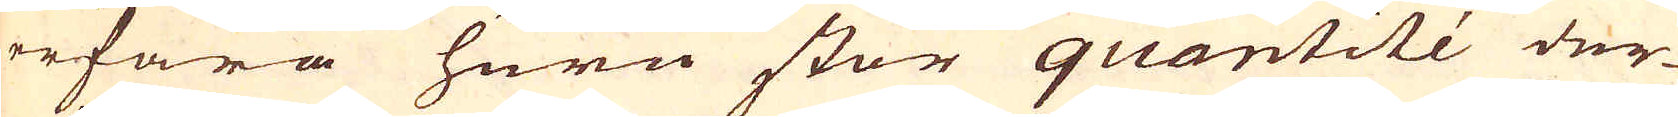erfara huru stor quantité der-
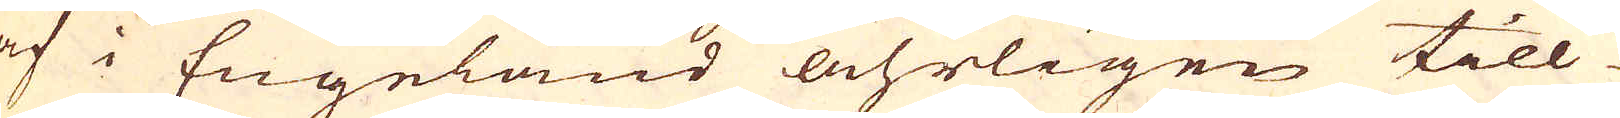af i Engeland åhrligen till
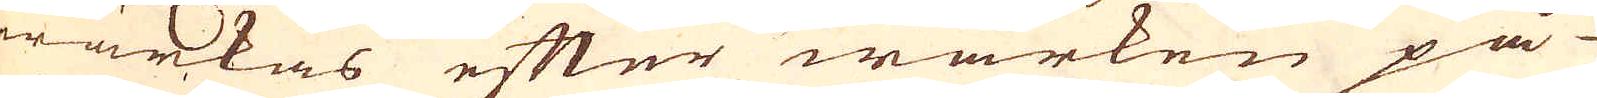wärkas efter wärken på
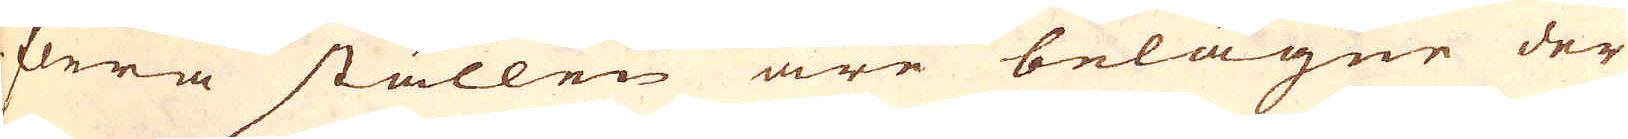flera ställen äre belägne der
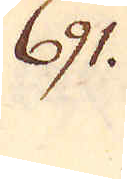691.
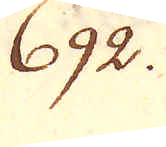692.
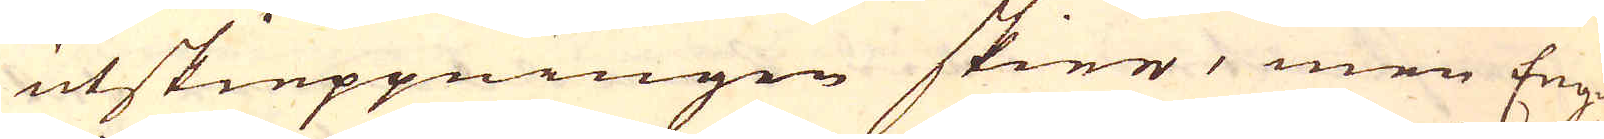utskieppningen skier, men Eng-
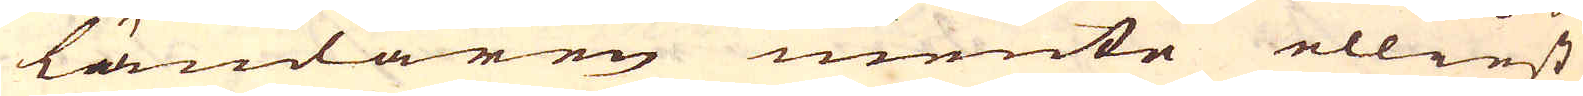ländaren mente elliest
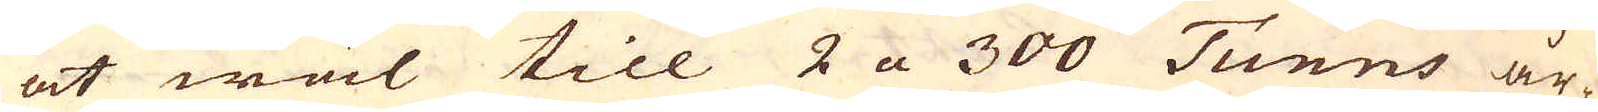at wäl till 2 a 300 Tunns år-
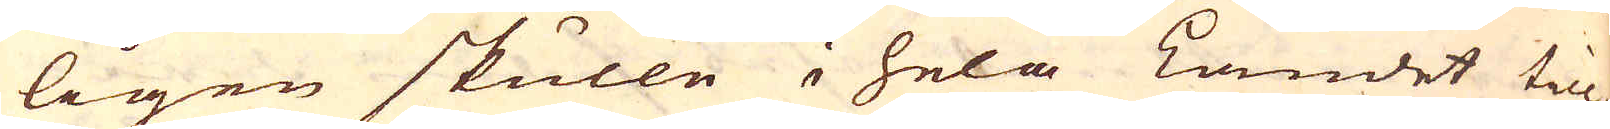ligen skulle i hela Landet till-
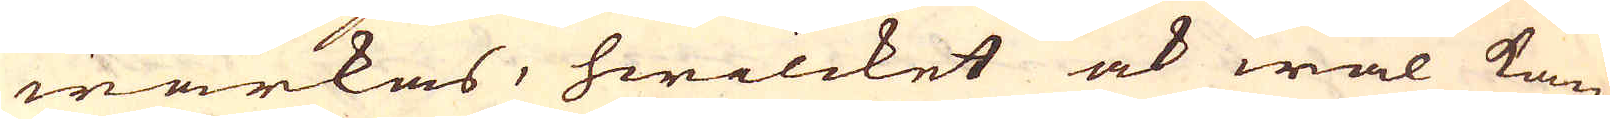wärkas, hwilcket ock wäl kan
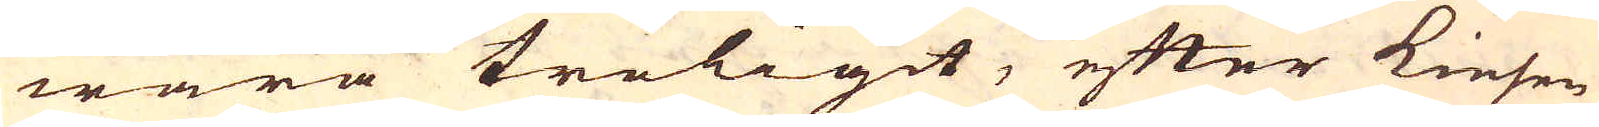wara troligit, efter Kiesen
